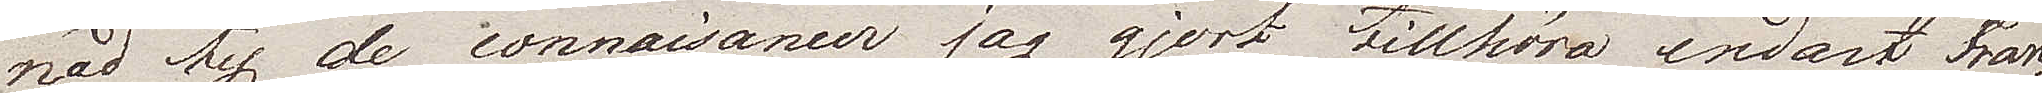nad, ty de connaisancer jag gjort tillhöra endast Fran¬
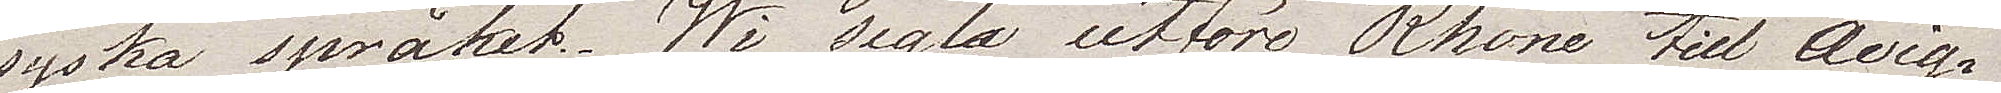syska språket. Wi segla utföre Rhone till Avig¬
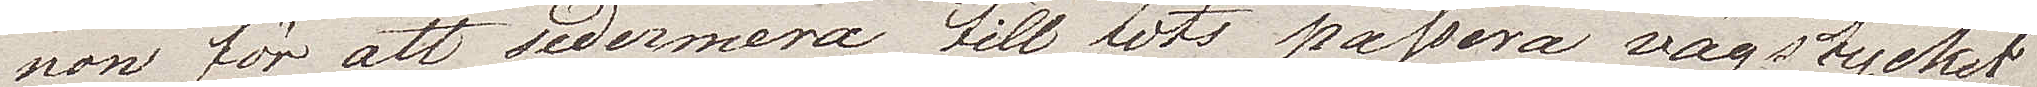non för att sedermera till fots passera vägstycket
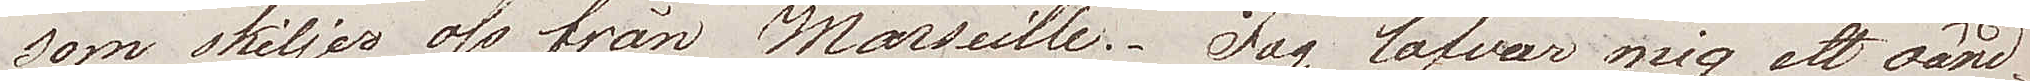som skiljer oss från Marseille. Jag lofvar mig ett oänd¬
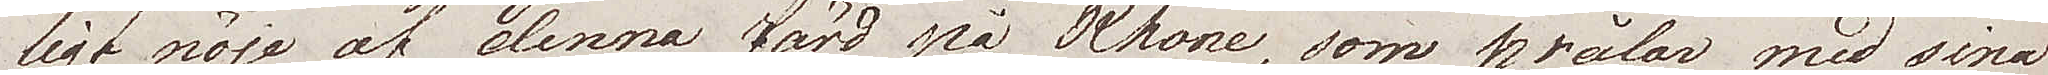ligt nöje av denna färd på Rhone, som prålar med sina
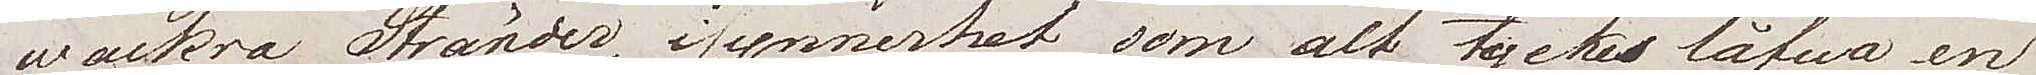wackra Stränder, i synnerhet som alt tycks låfwa en
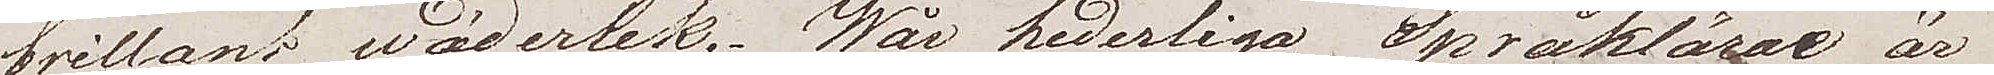brillant wäderlek. Wår hederliga Språklärare är
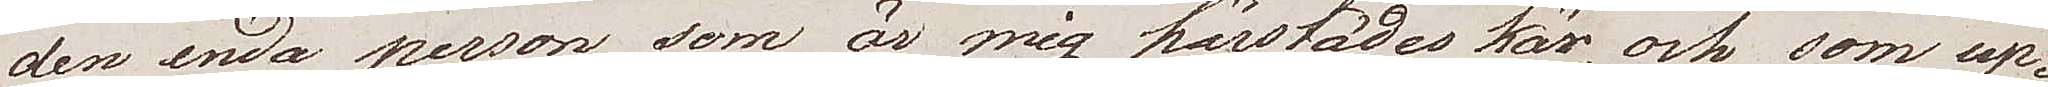den enda person som är mig härstädes kär, och som up¬
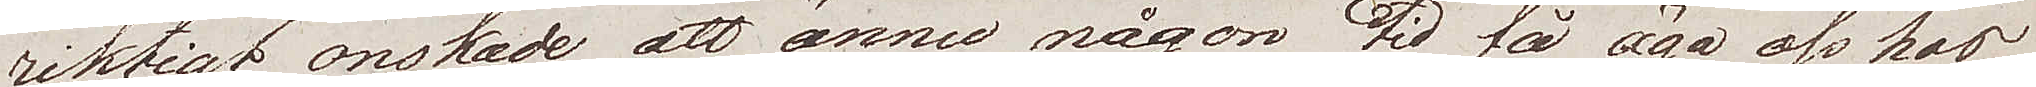riktigt önskade att ännu någon tid få äga oss hos
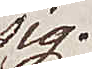sig.
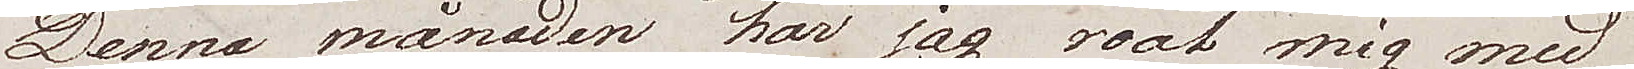Denna månaden har jag roat mig med
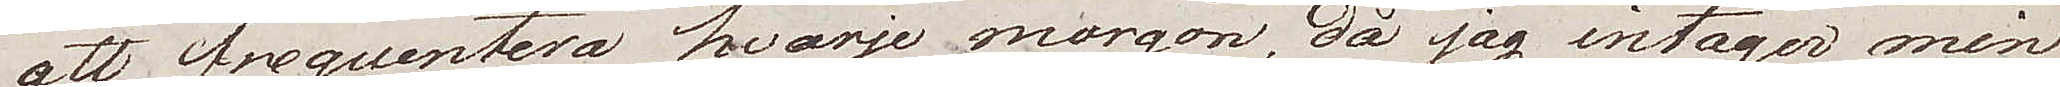att frequentera hvarje morgon, då jag intager min
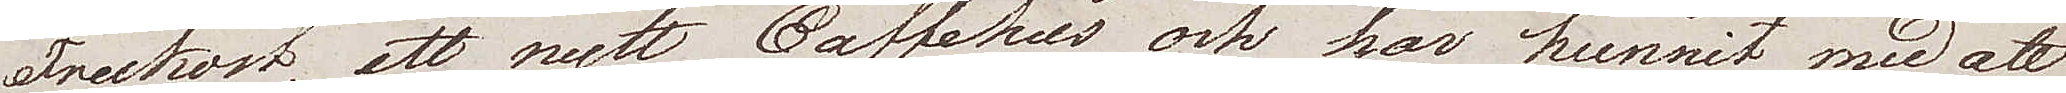Frukost, ett nytt Caffehus och har hunnit med att
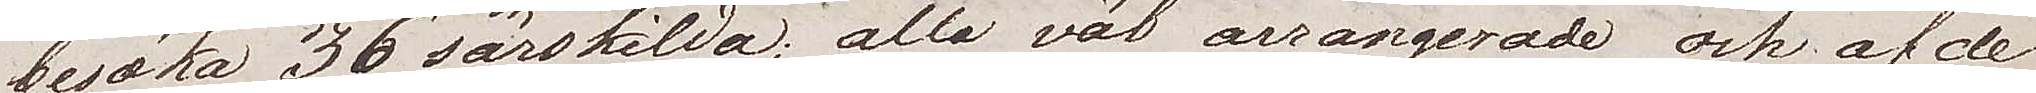besöka 36 särskilda; alla väl arrangerade och af de
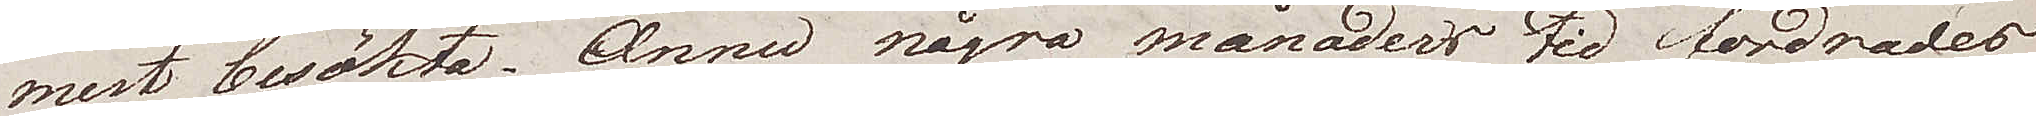mest besökta. Ännu några månaders tid fordrades
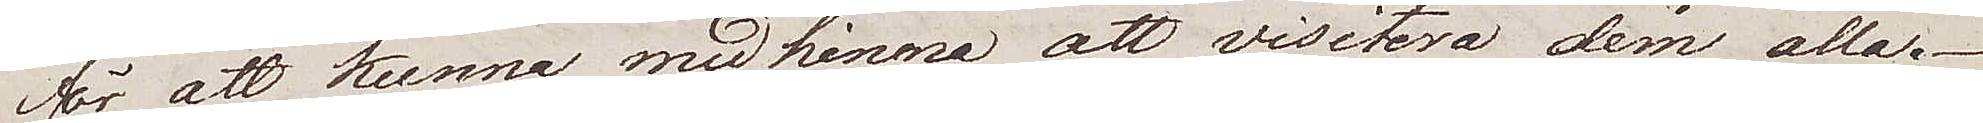för att kunna medhinna att visitera dem alla.
